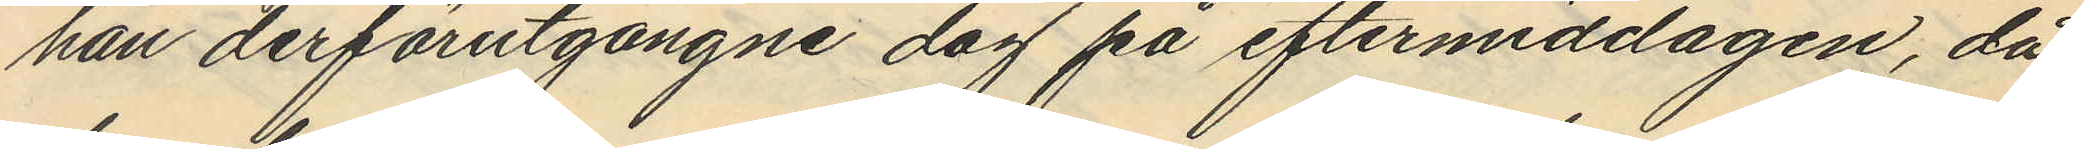han derförutgångne dag på eftermiddagen, då
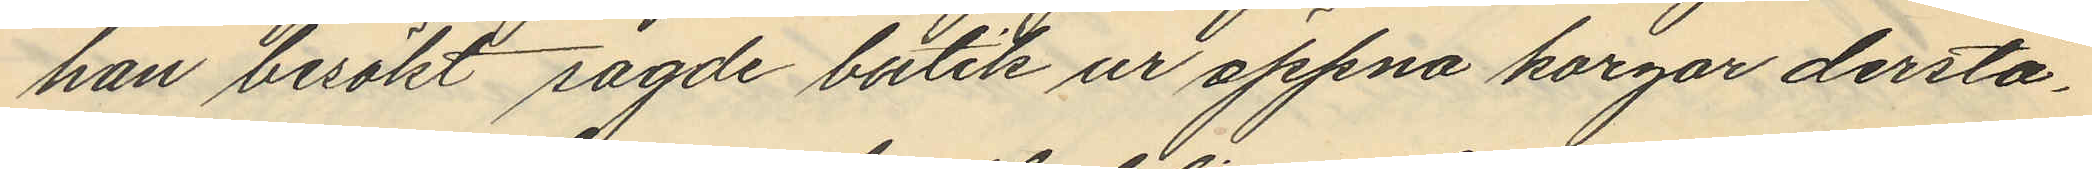han besökt sagde butik ur öppna korgar derstä¬
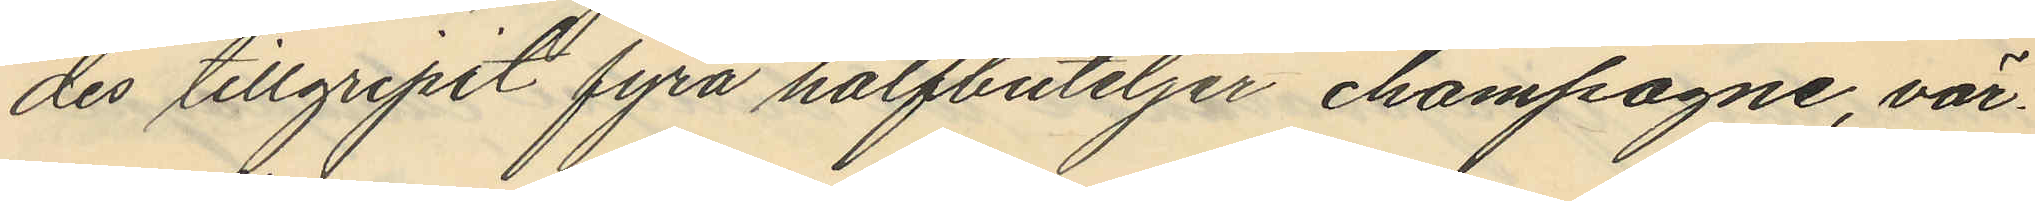des tillgripit fyra halfbuteljer champagne, vär¬
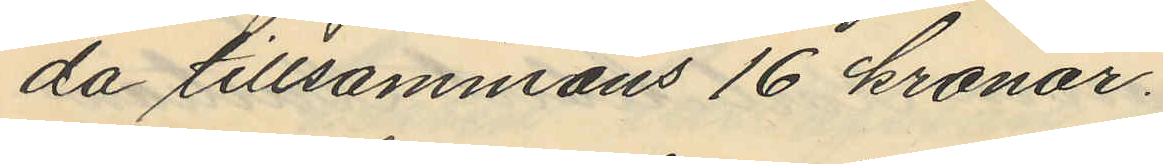da tillsammans 16 kronor.
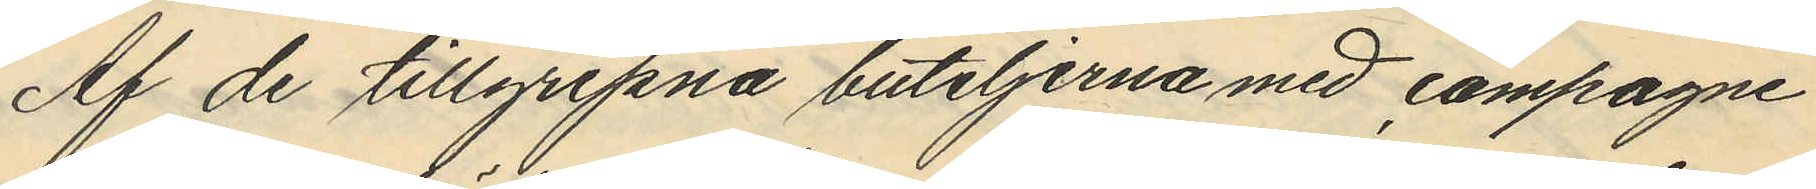Af de tillgripna buteljerna med champagne
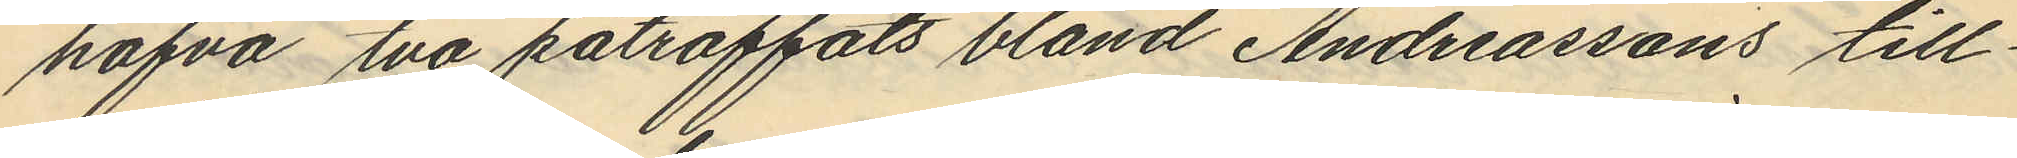hafva två påträffats bland Andreassons till¬
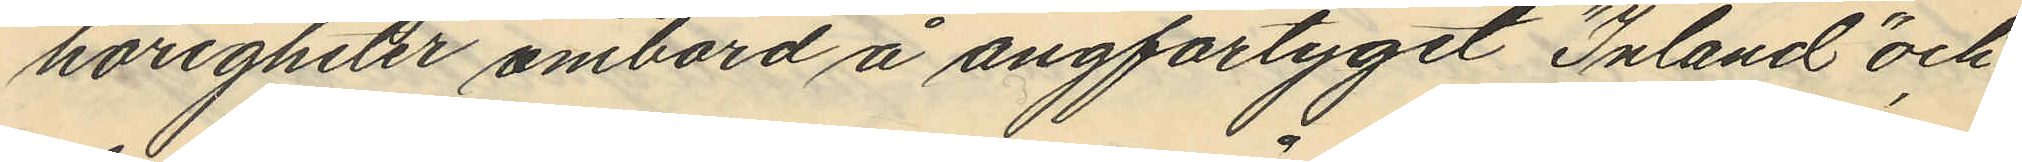hörigheter ombord å ångfartyget "Inland" och
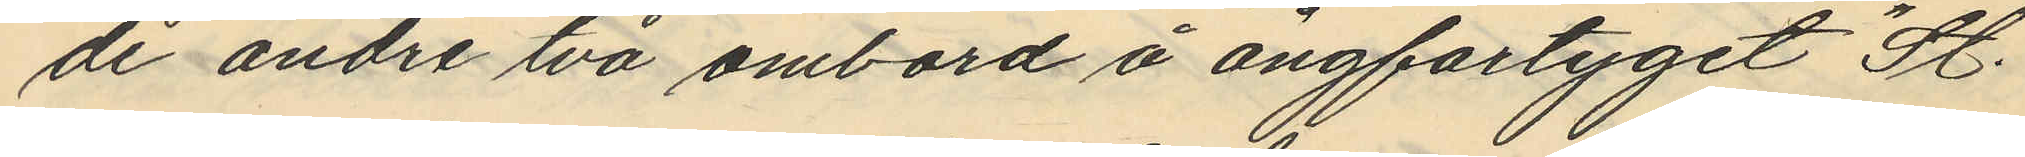de andre två ombord å ångfartyget "St.
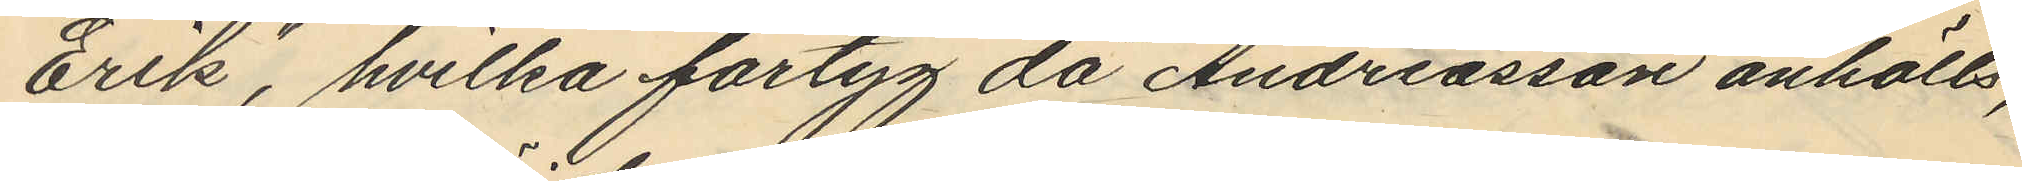Erik", hvilka fartyg då Andreasson anhölls,
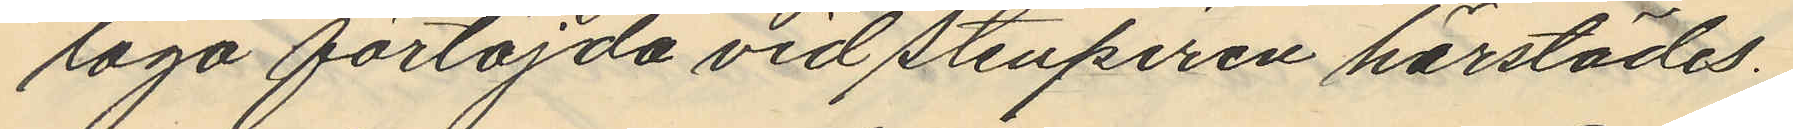lågo förtöjda vid Stenpiren härstädes.
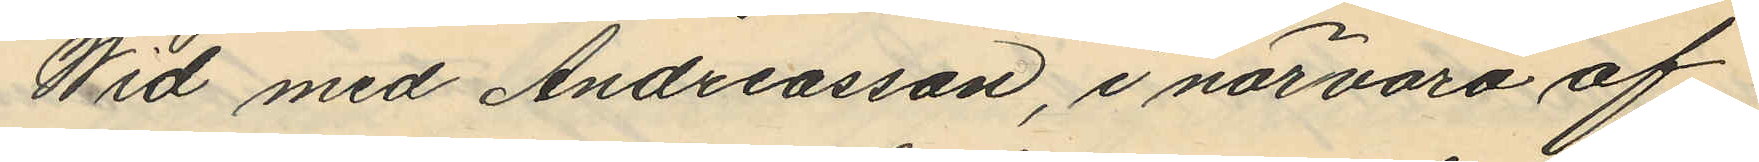Wid med Andreasson, i närvaro af
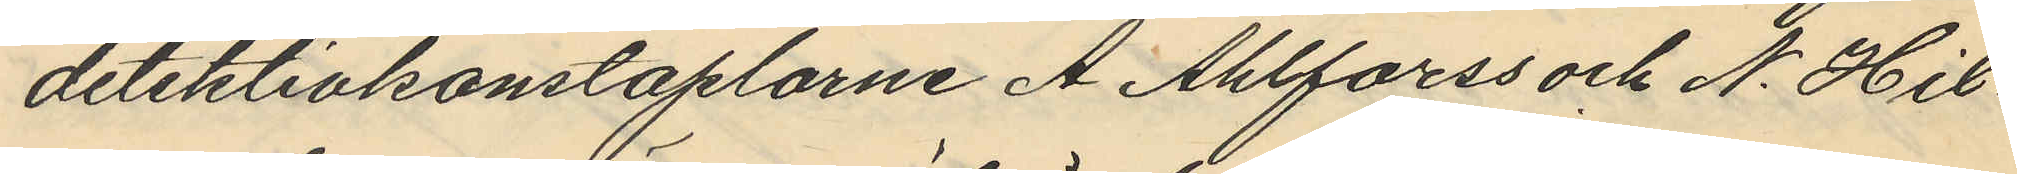detektivkonstaplarne A. Ahlforss och N. Hil¬
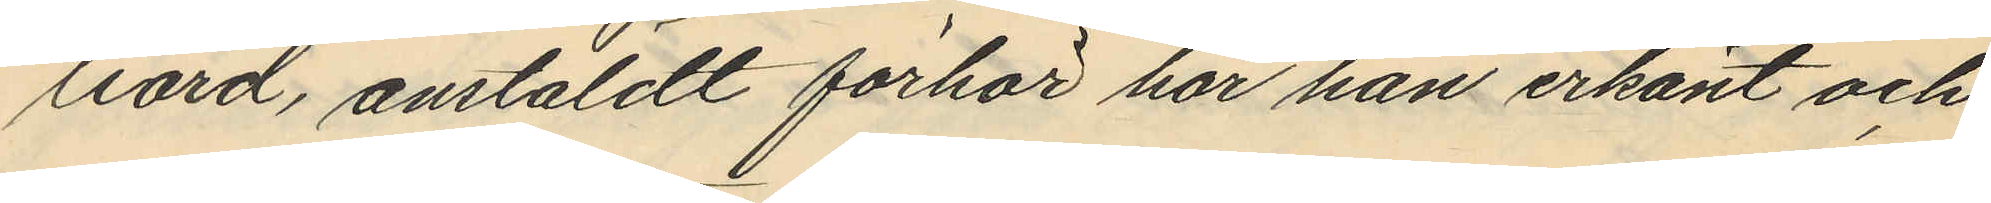liard, anstäldt förhör har han erkänt och
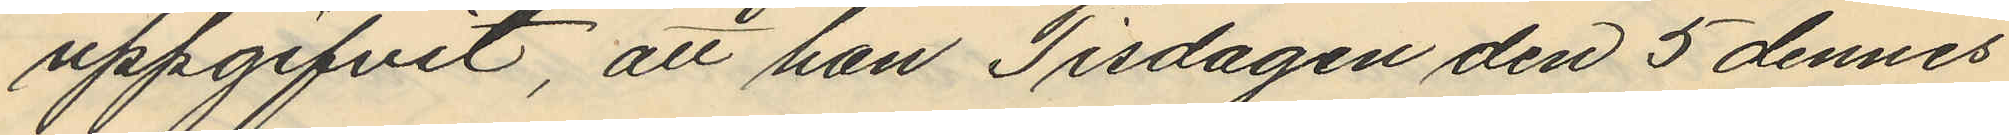uppgifvit, att han Tisdagen den 5 dennes
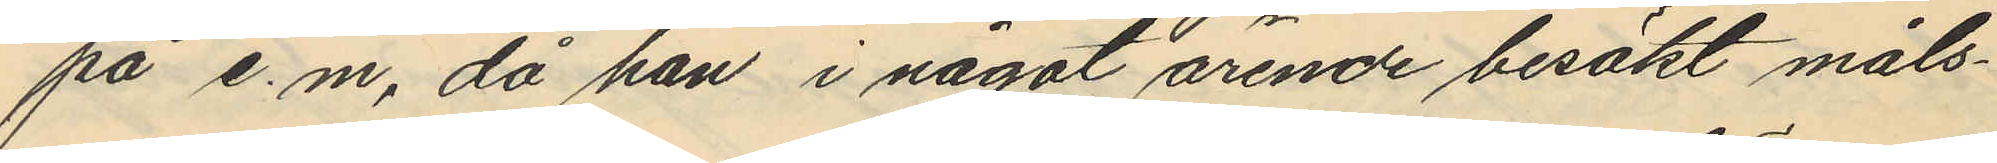på e.m, då han i något ärende besökt måls¬
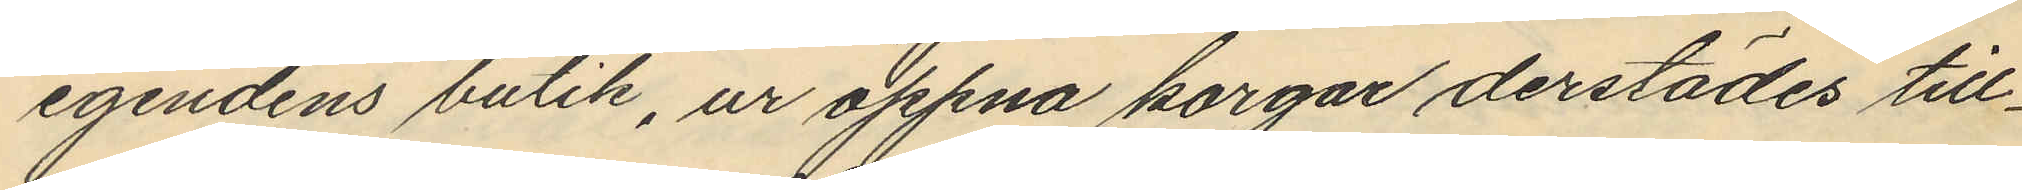egendens butik, ur öppna korgar derstädes till¬
